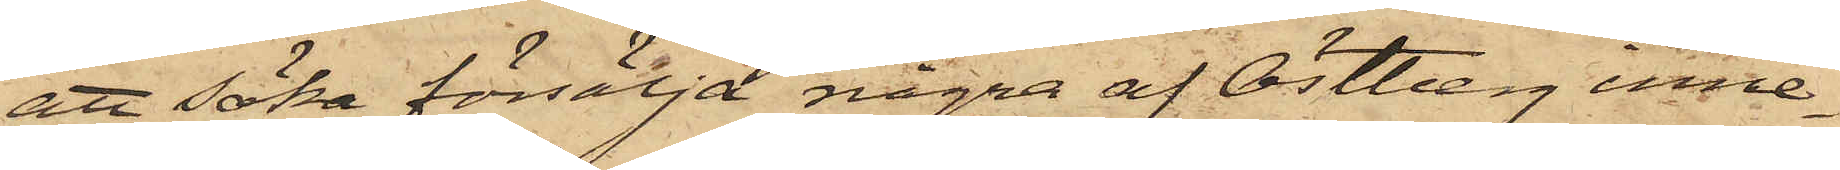att söka försälja några af Östberg inne¬
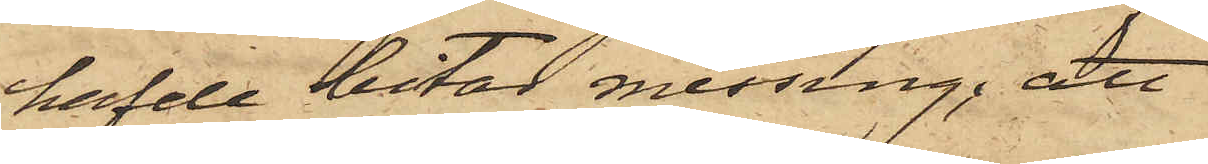hafde bitar messing; att
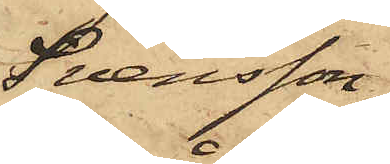Svensson,
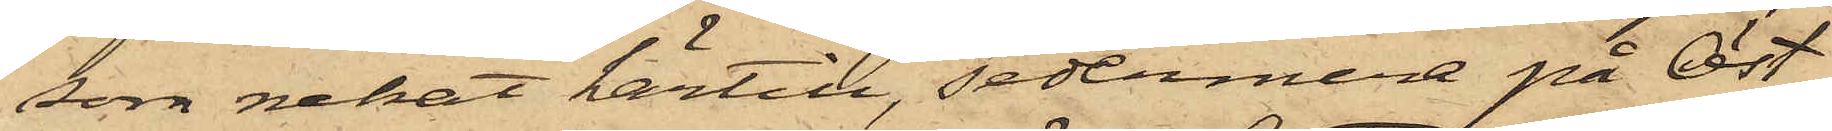som nekat härtill, sedermera på Öst¬
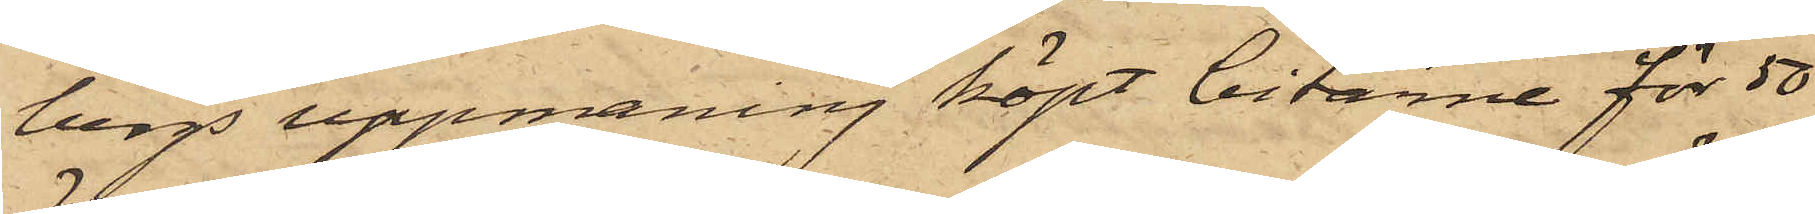bergs uppmaning köpt bitarne för 50
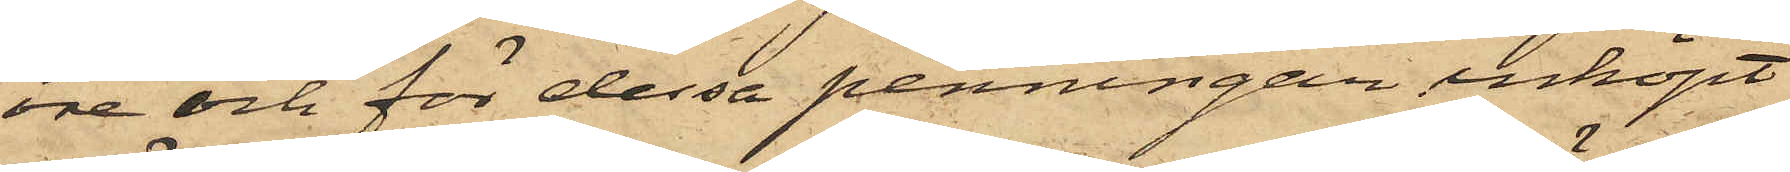öre och för dessa penningar inköpt
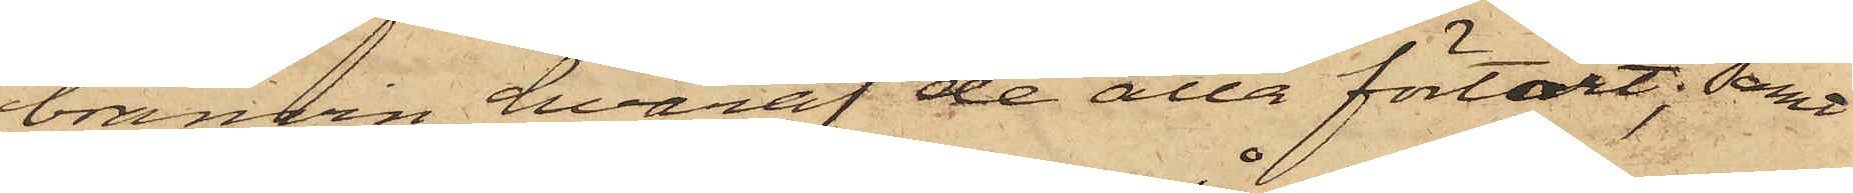bränvin, hvaraf de alla förtärt; samt
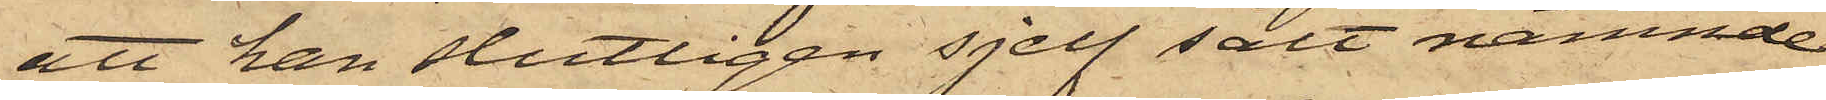att han slutligen sjelf sålt nämnde
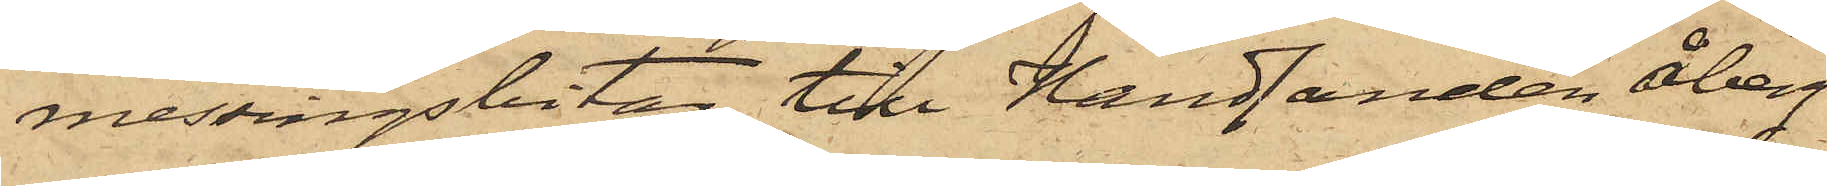messingsbitar till Handlanden Åberg
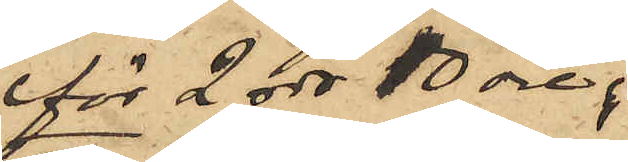för 2 rdr 10 öre.
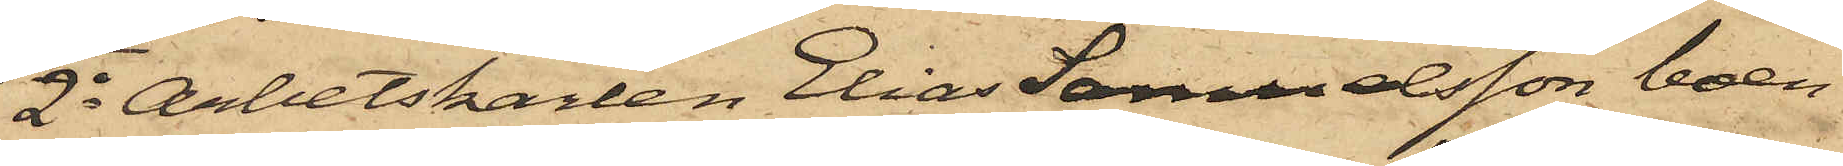2o Arbetskarlen Elias Samuelsson, boen¬
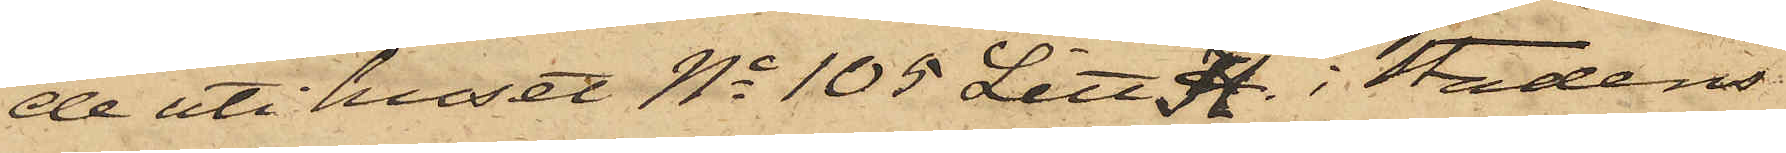de uti huset No 105 Litt. H. i Stadens
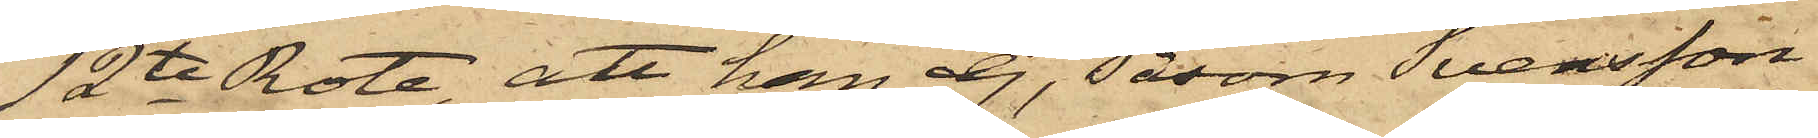12te Rote, att han ej, såsom Svensson
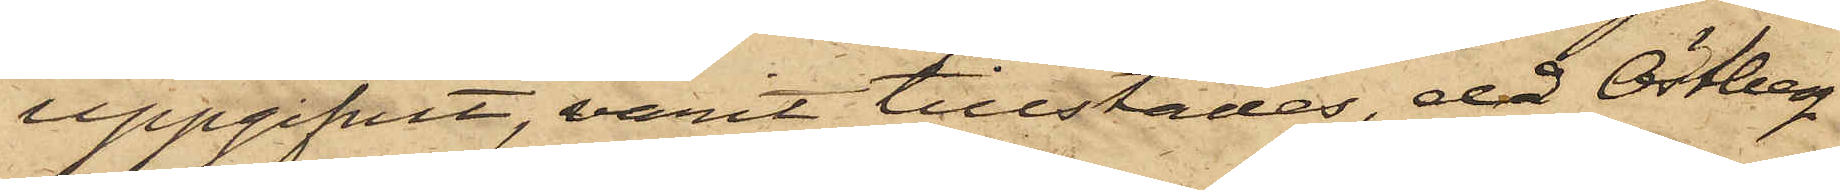uppgifvit, varit tillstädes, då Östberg
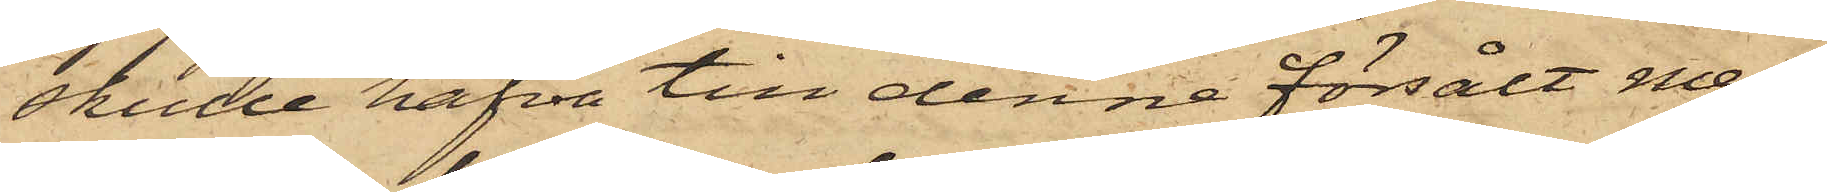skulle hafva till denne försålt mes¬
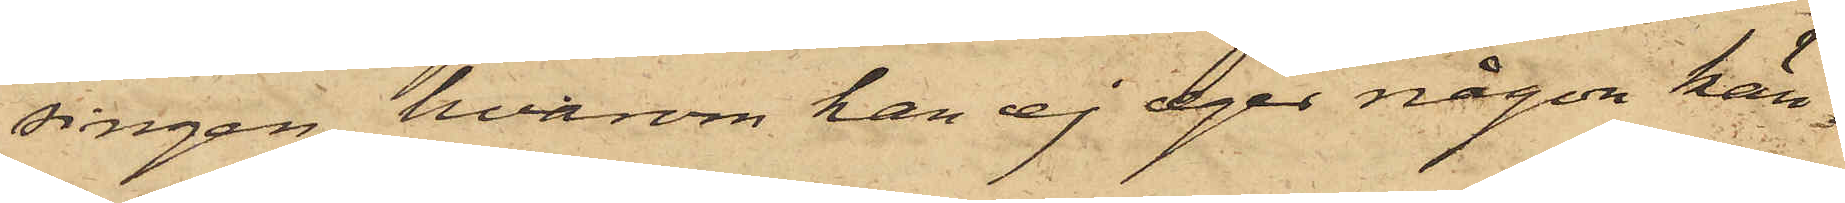singen, hvarom han ej eger någon kän¬
